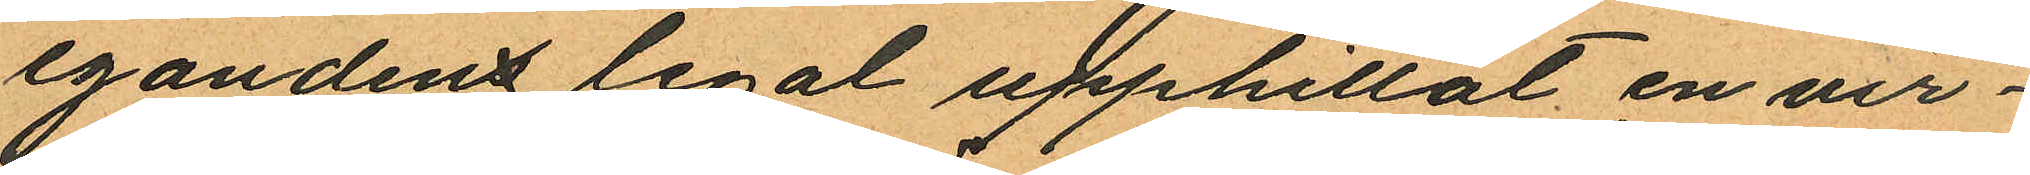egandens legat upphittat en vir¬
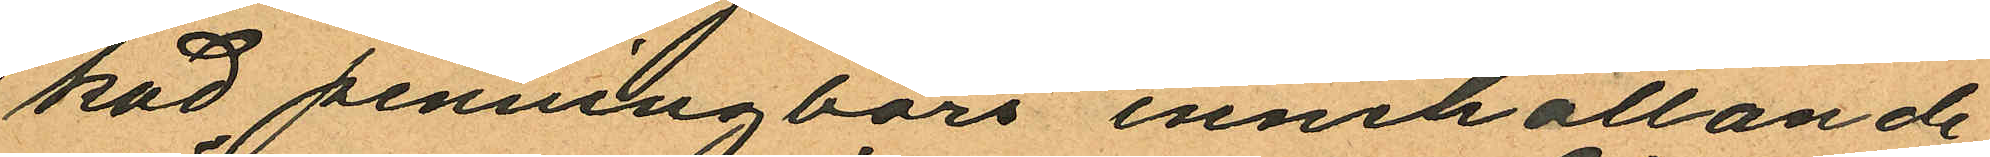kad penningbörs innehållande
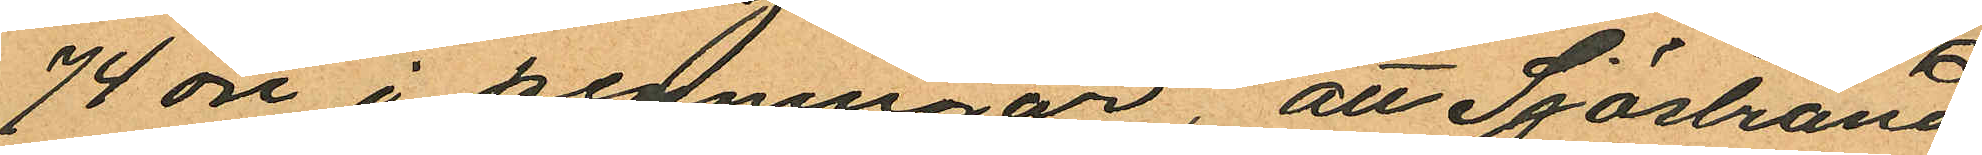74 öre i penningar, att Sjöstrand
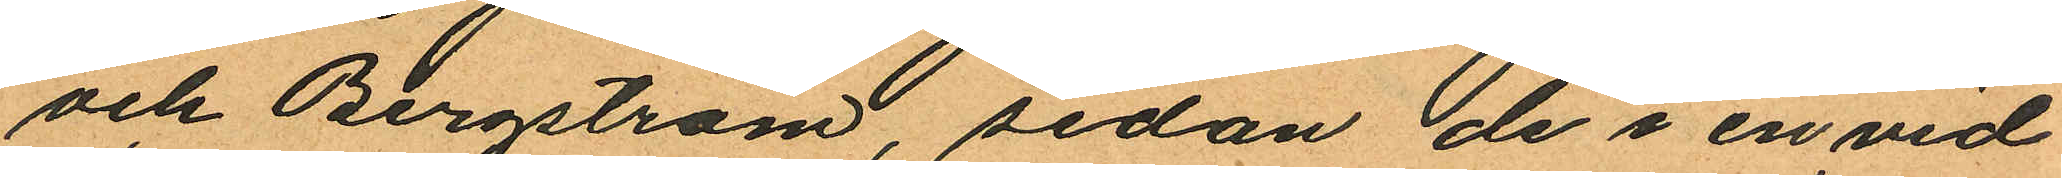och Bergström, sedan de i en vid
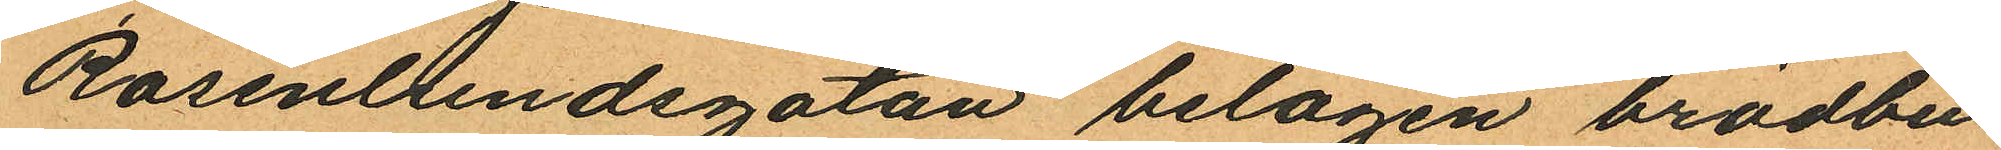Rosenlundsgatan belägen brödbu¬
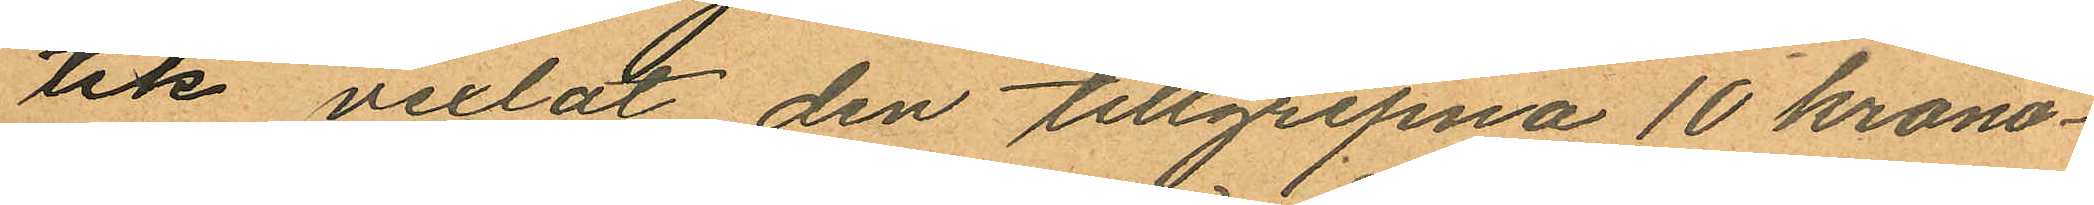tik vexlat den tillgripna 10 krono¬
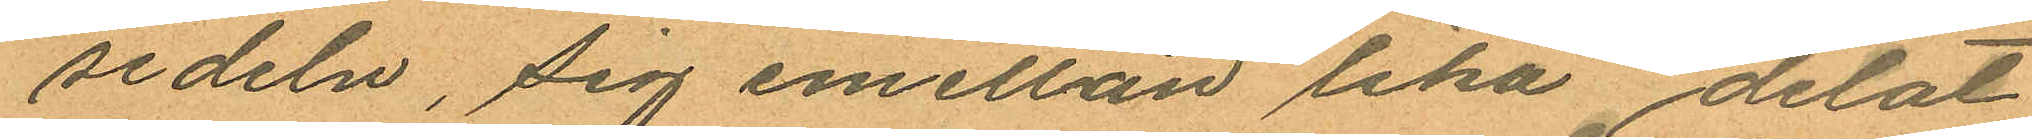sedeln, sig emellan lika delat
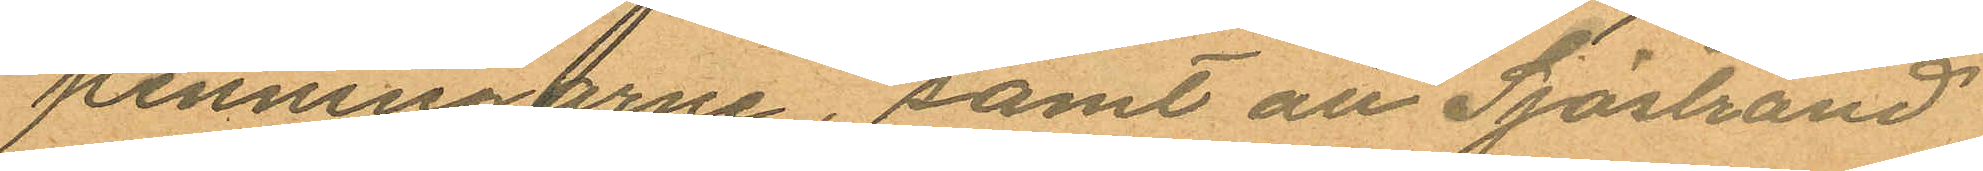penningarne, samt att Sjöstrand
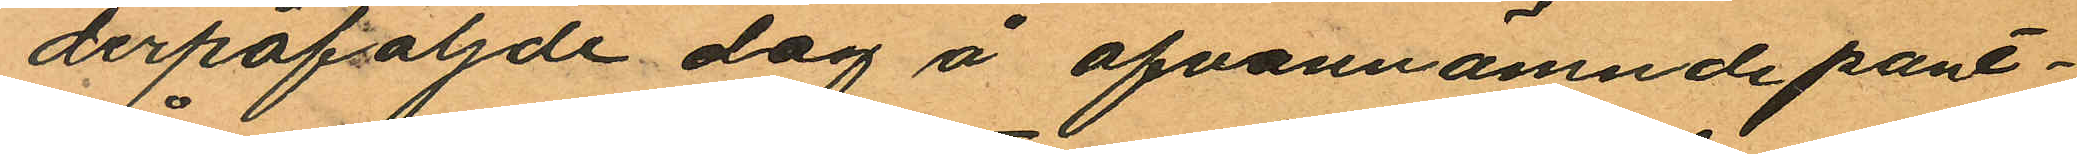derpåföljde dag å ofvannämnde pant¬
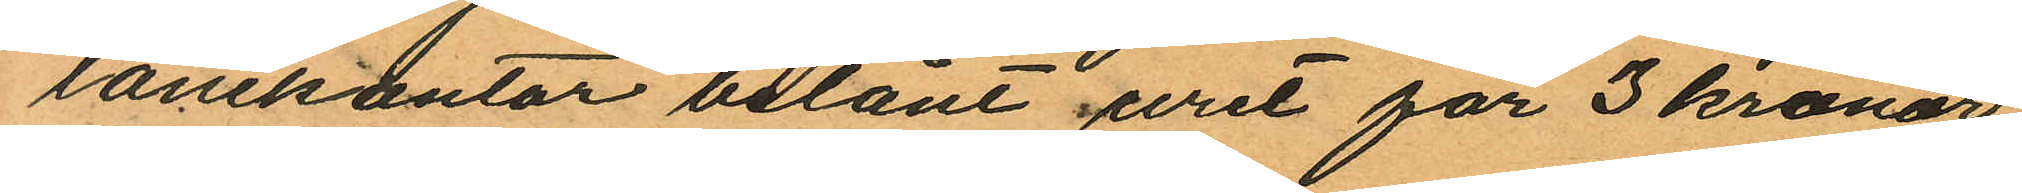lånekontor belånt uret för 3 kronor
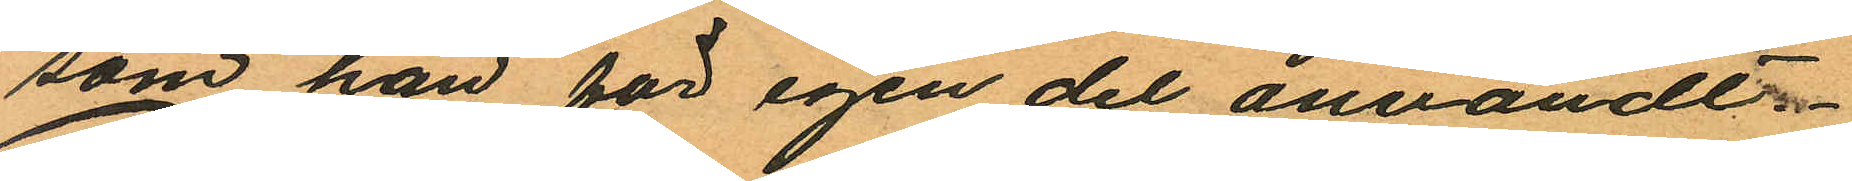som han för egen del användt.
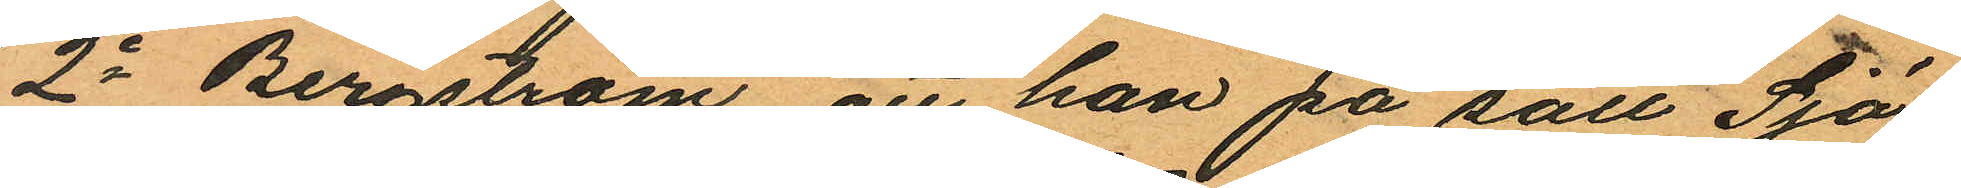2o Bergström att han på sätt Sjö¬
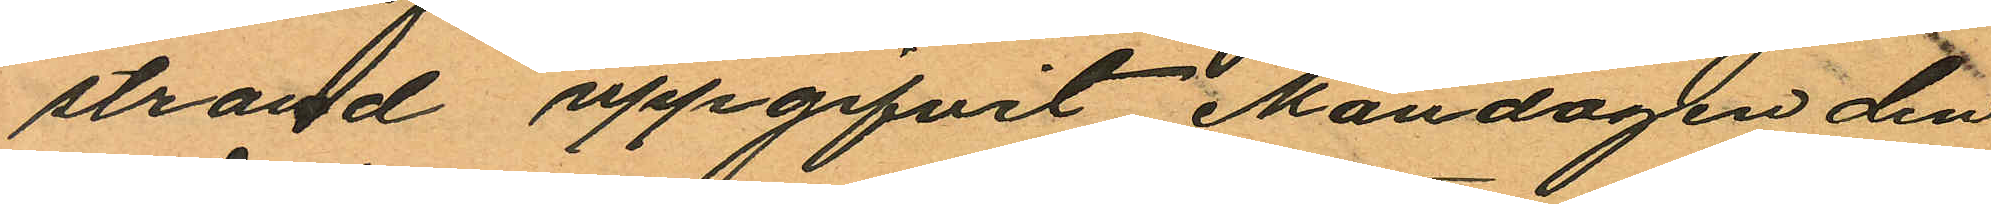strand uppgifvit Måndagen den
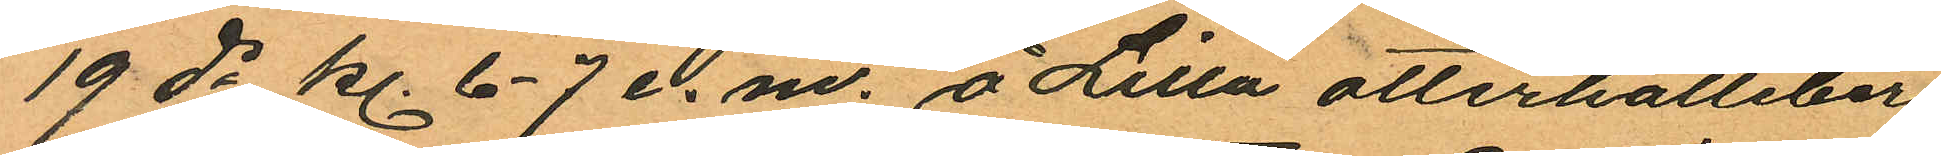19 ds kl. 6-7 e. m. å Lilla otterhälleber¬
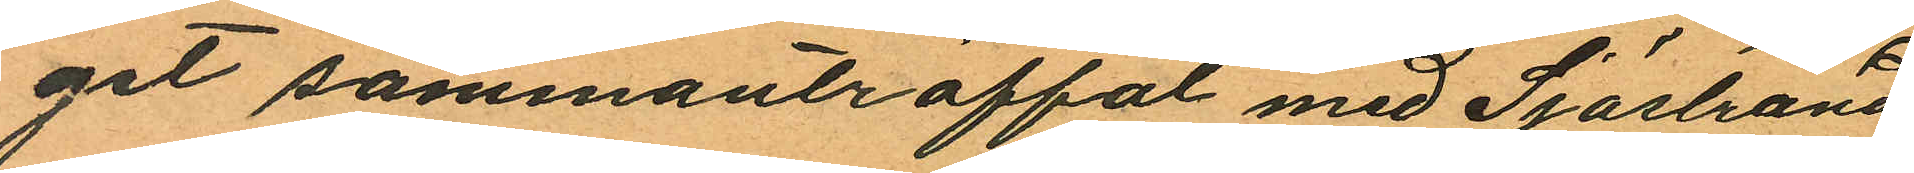get sammanträffat med Sjöstrand
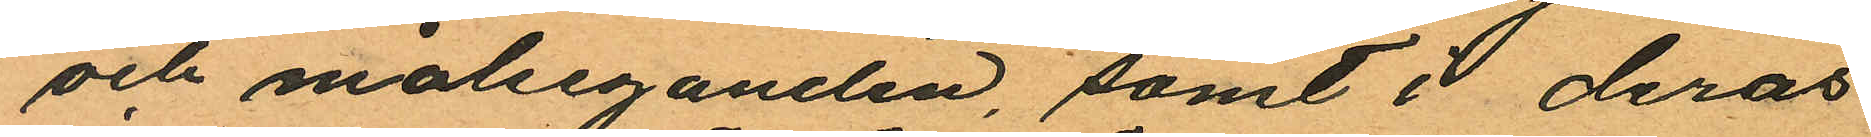och målseganden, samt i deras
